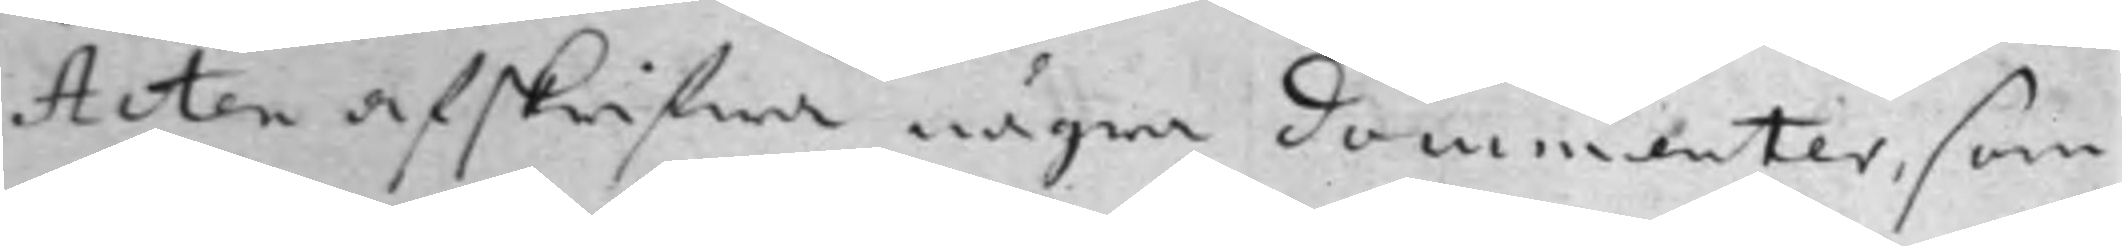Acten afskrifwa några documenter, som
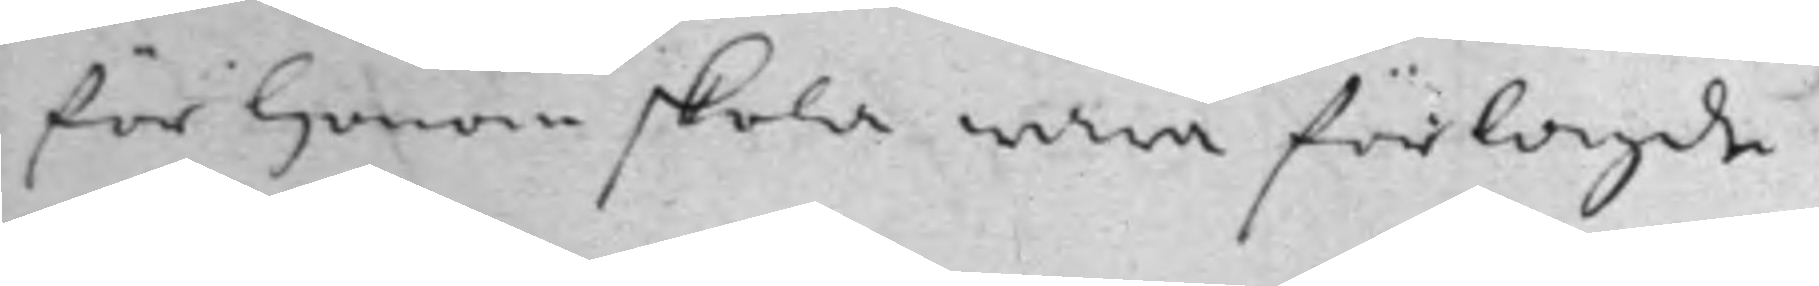för honom skola wara förlagde.
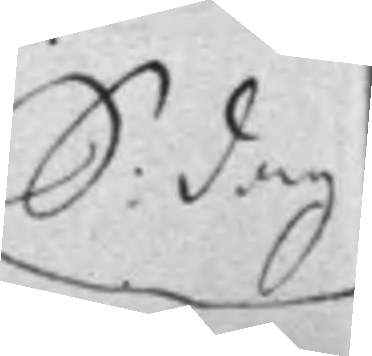S. dag
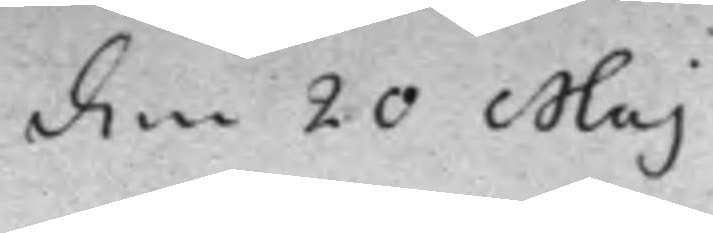den 20 Maj
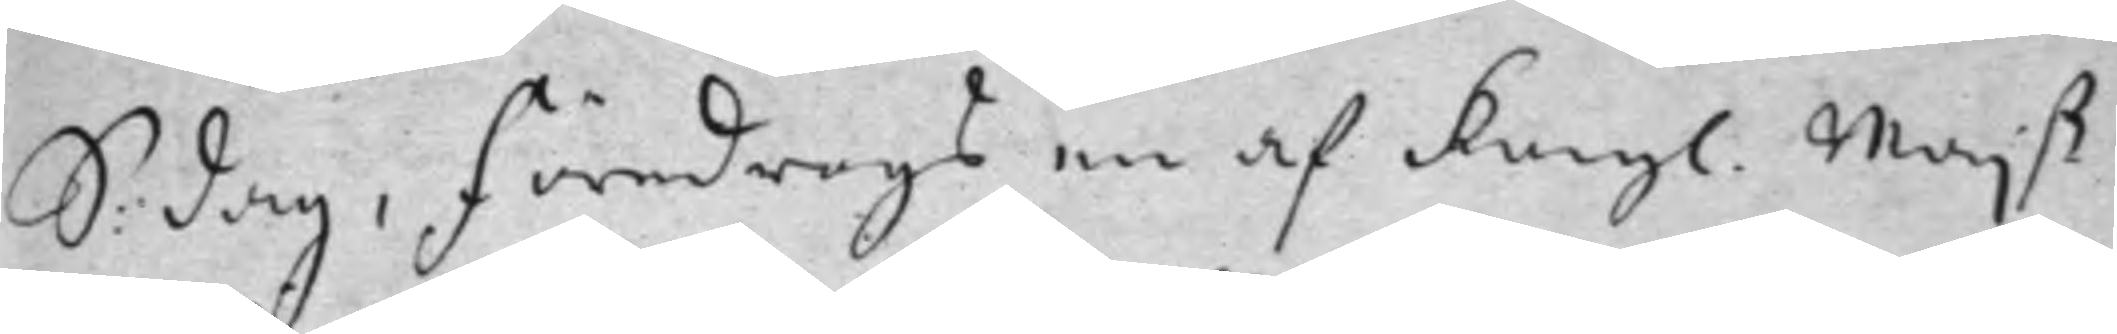S: dag, Föredrogs en af Kongl. Maj.ß
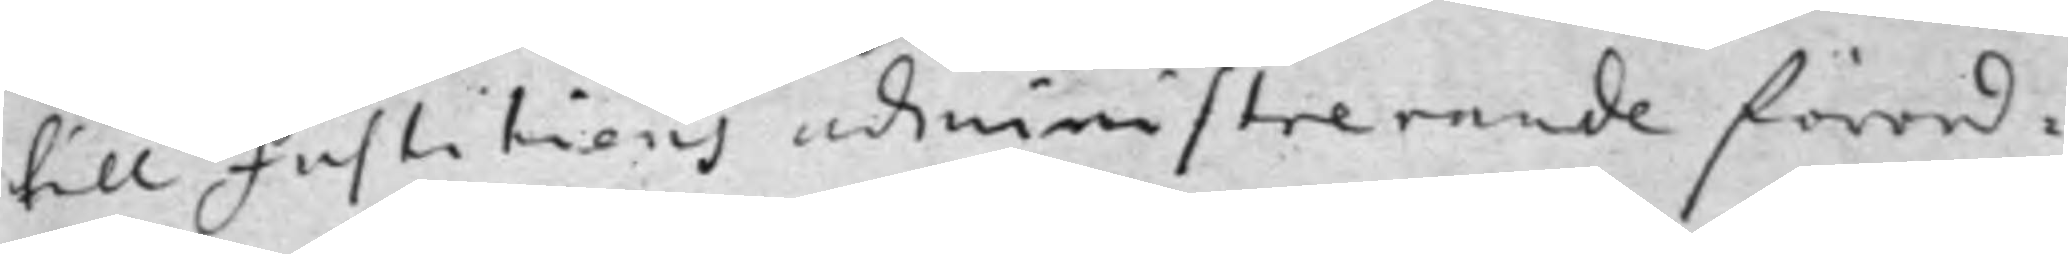till Justitiens administrerande förord¬
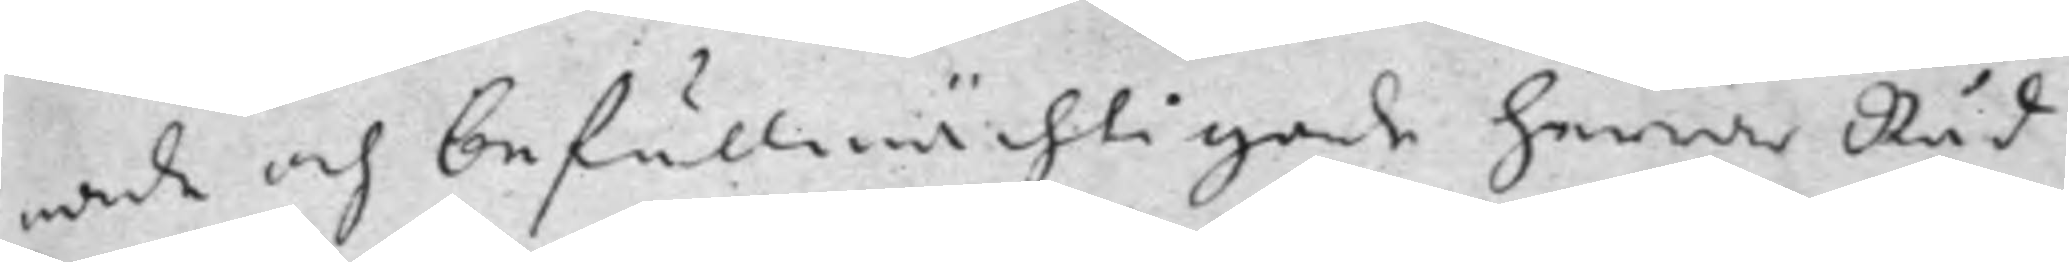nade och befullmächtigade herrar Råd
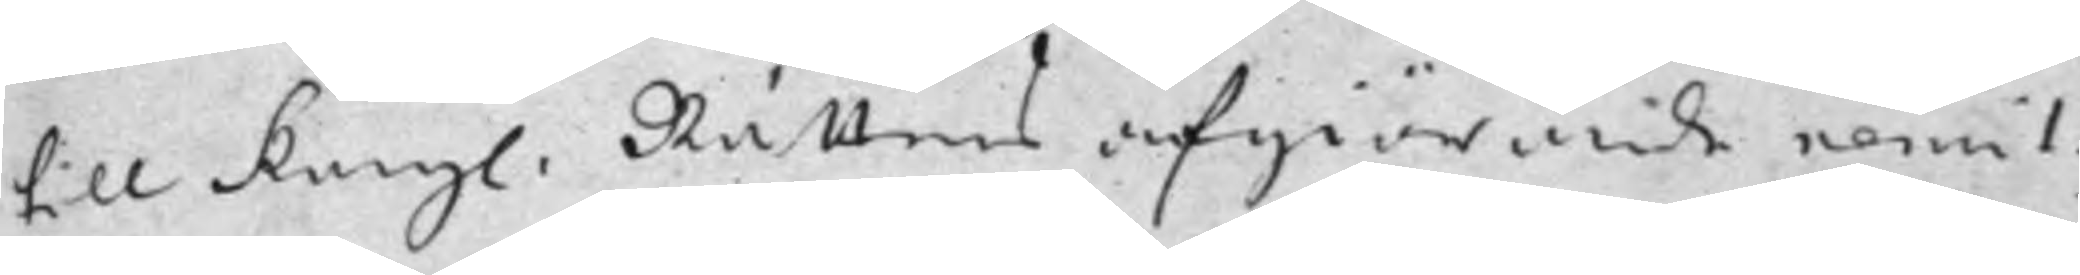till Kongl. Rättens afgiörande remit¬
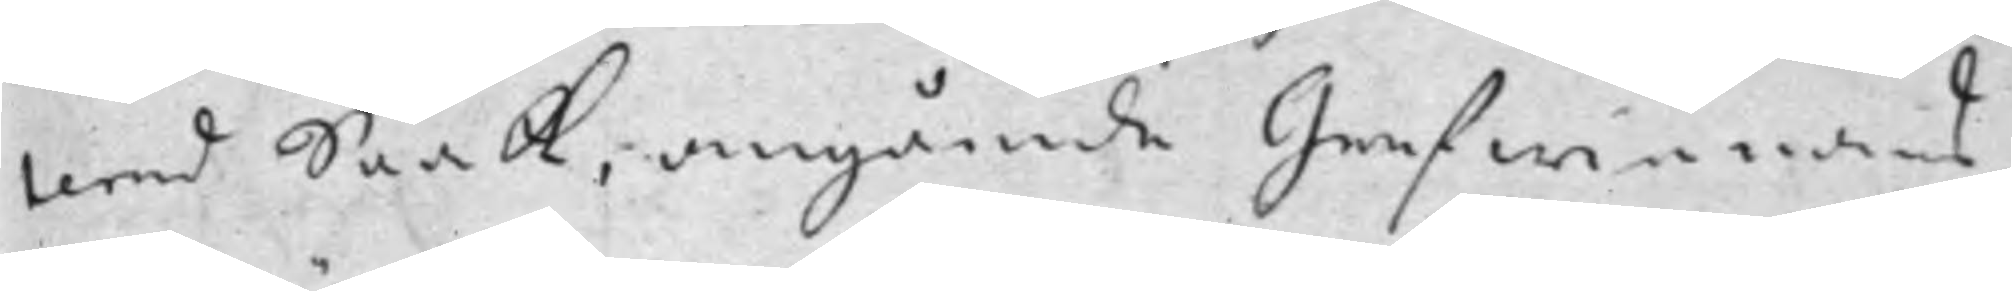terad Saak, angående Grefwinnans
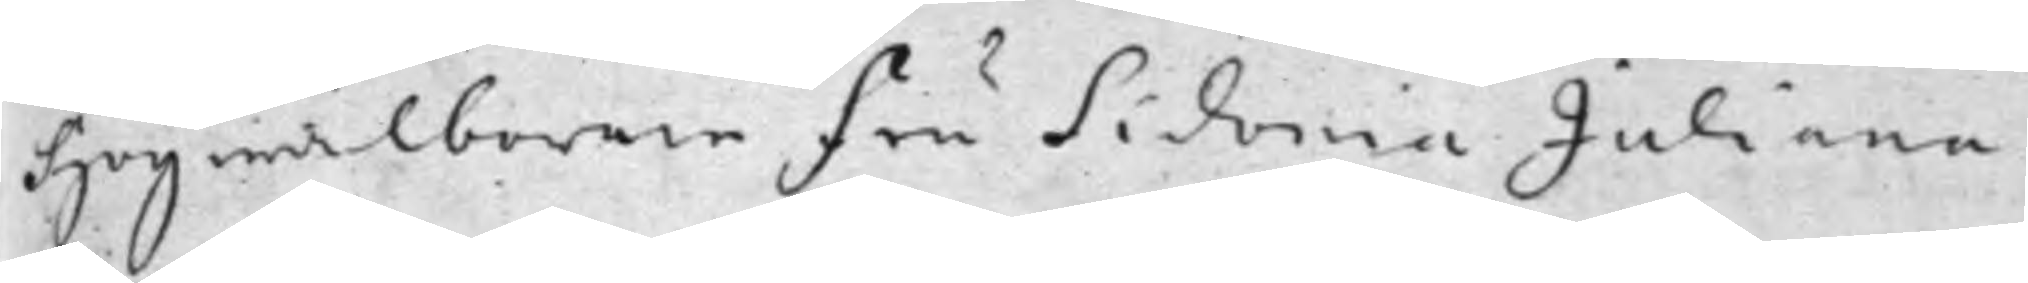Högwälborne Fru Sidonia Juliana
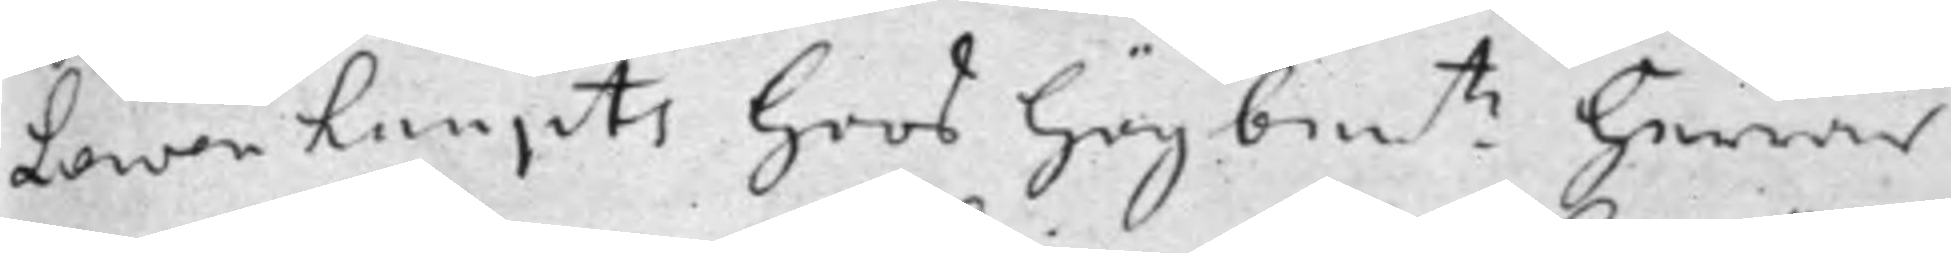Lewenhaupts hoos Högbem.te Herrar
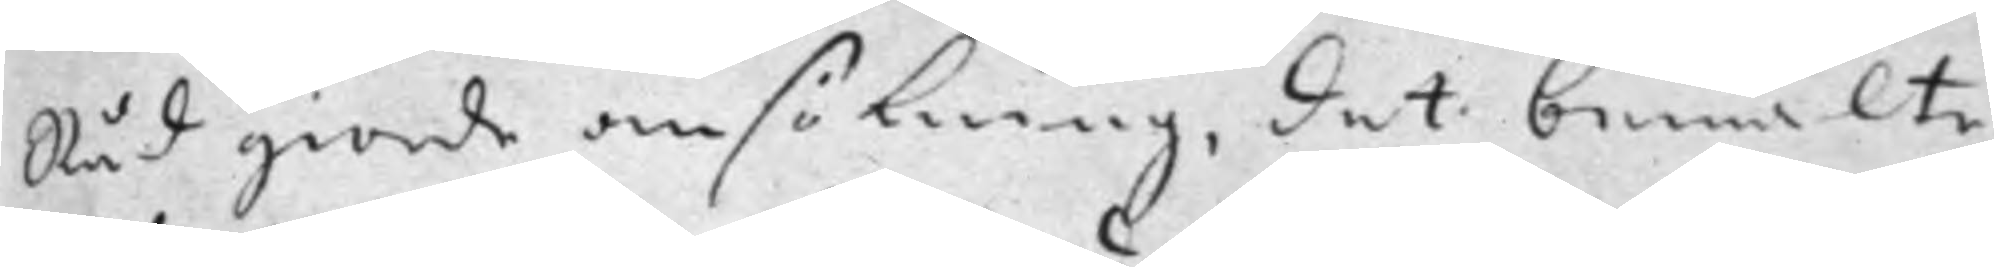Råd giorde ansökning, det bemälte
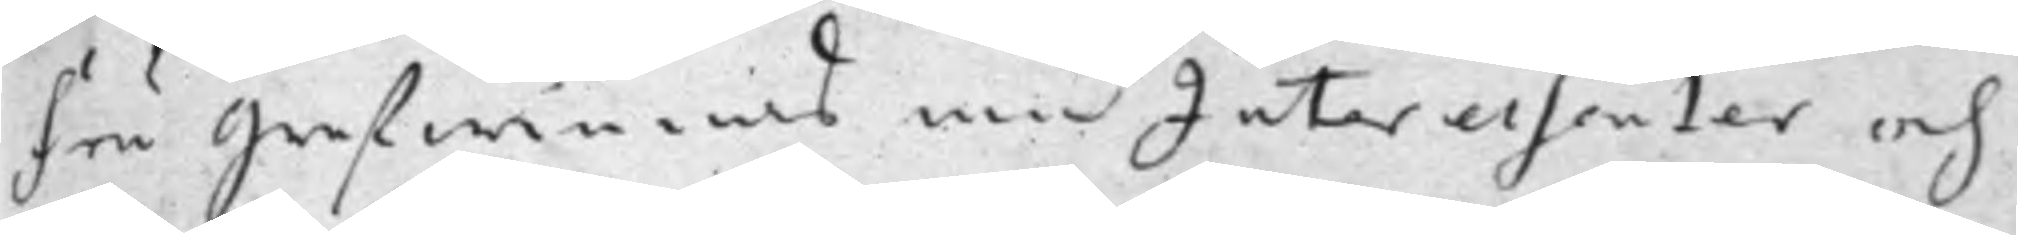Fru Grefwinnas medInteressenter och
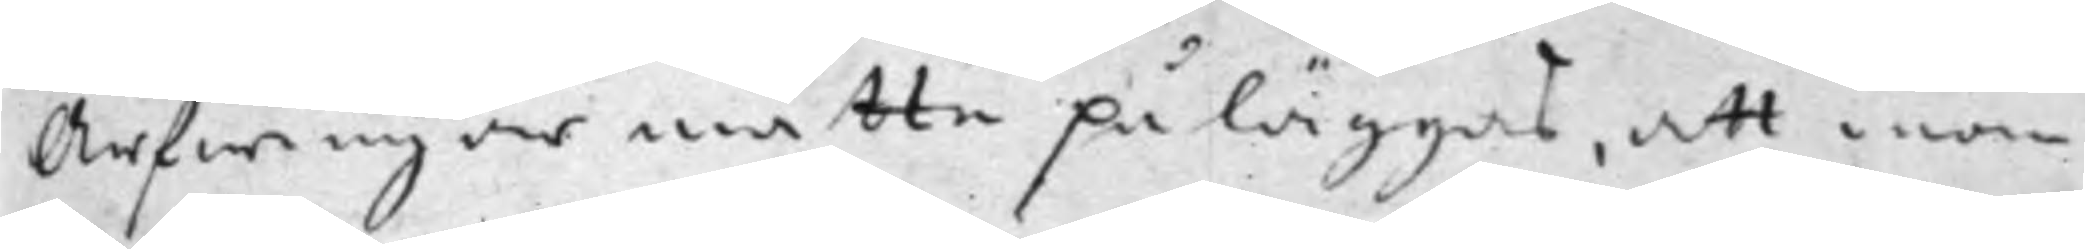Arfwingar måtte påläggas, att inom
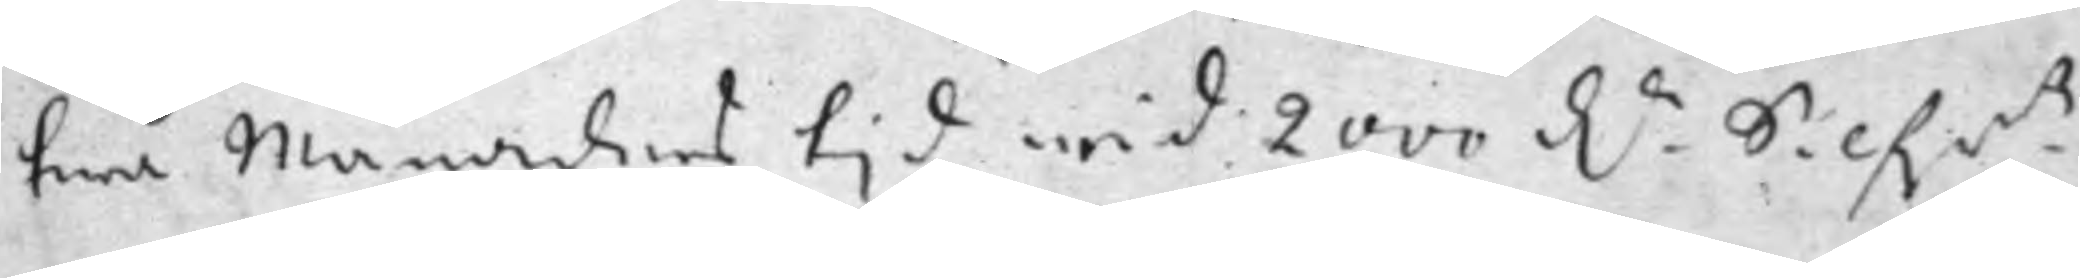twå Månaders tjd wid 200 D.r Silf.m.tz
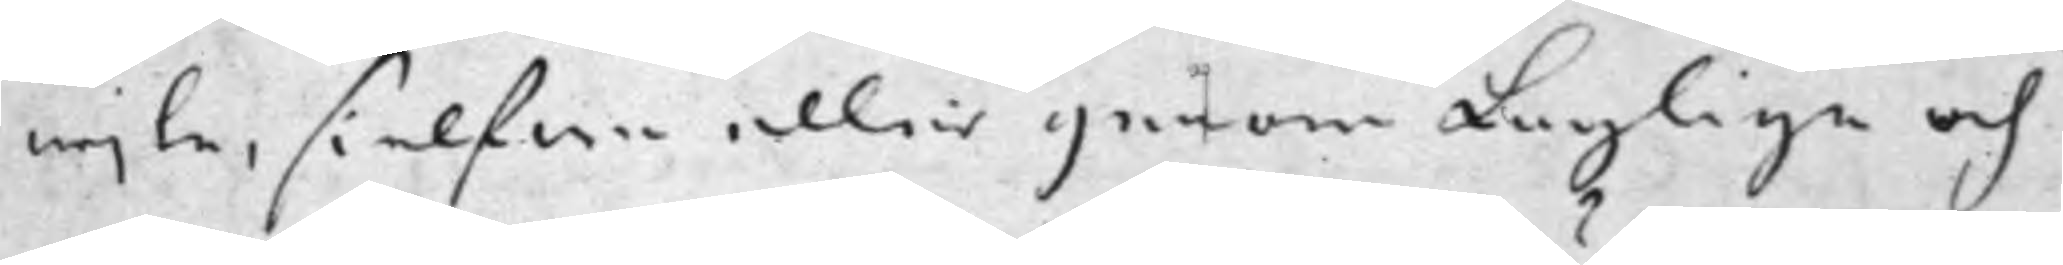wjte, sielfwa eller genom Laglige och
